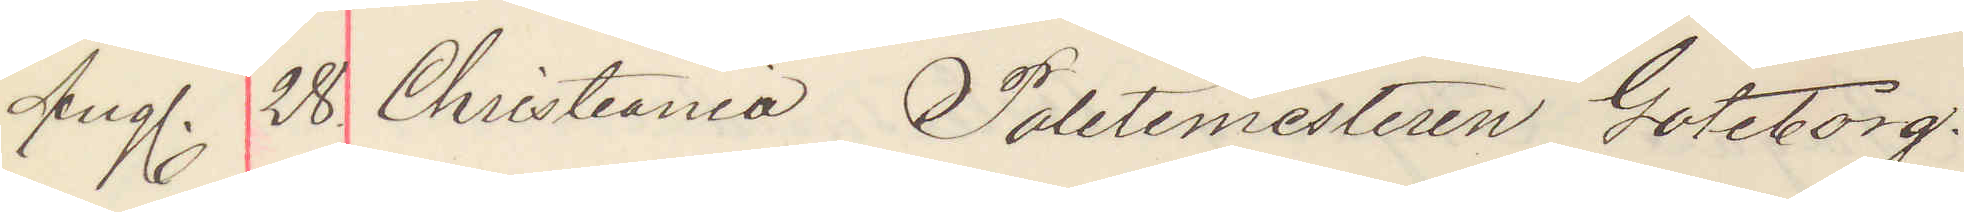Aug. 28. Christiania Politimesteren Göteborg.
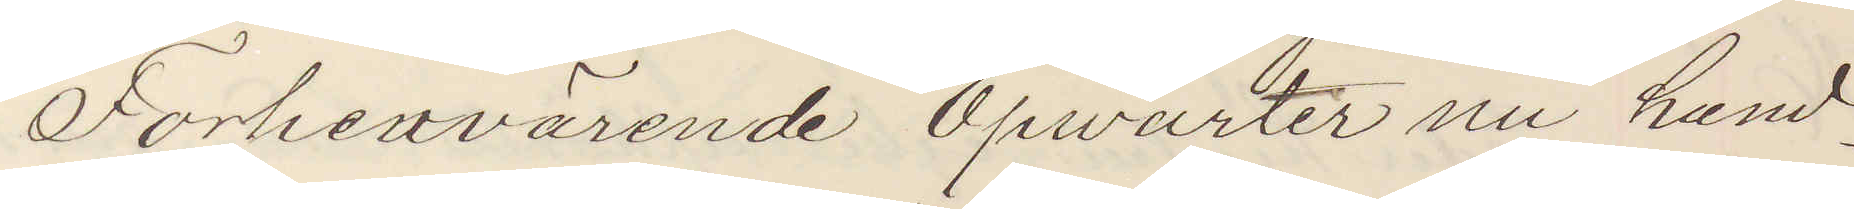Forhenvärende Opwarter nu hand¬
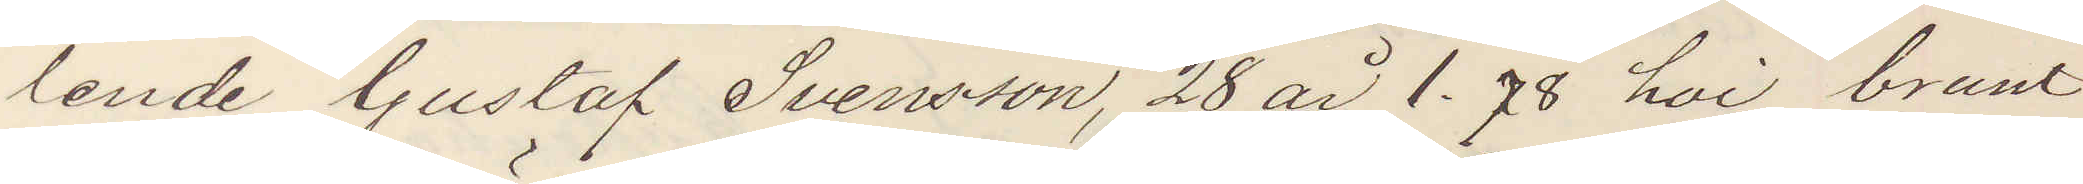lende Gustaf Svensson, 28 år 1,78 hoi brunt
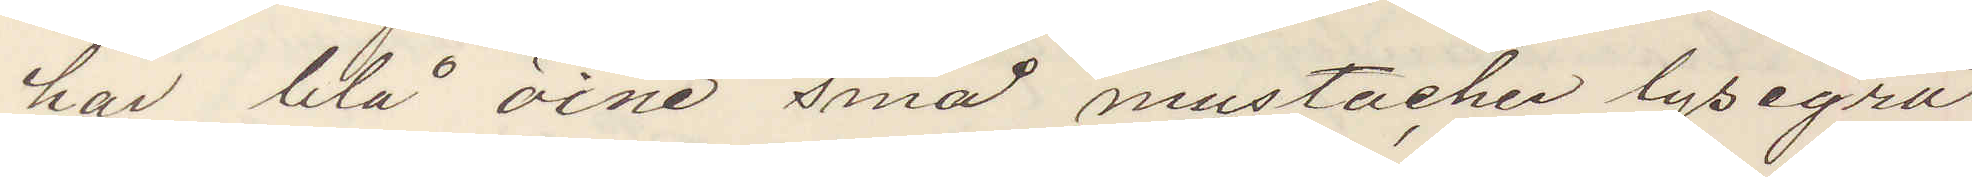hår blå öine små mustacher lysegrå
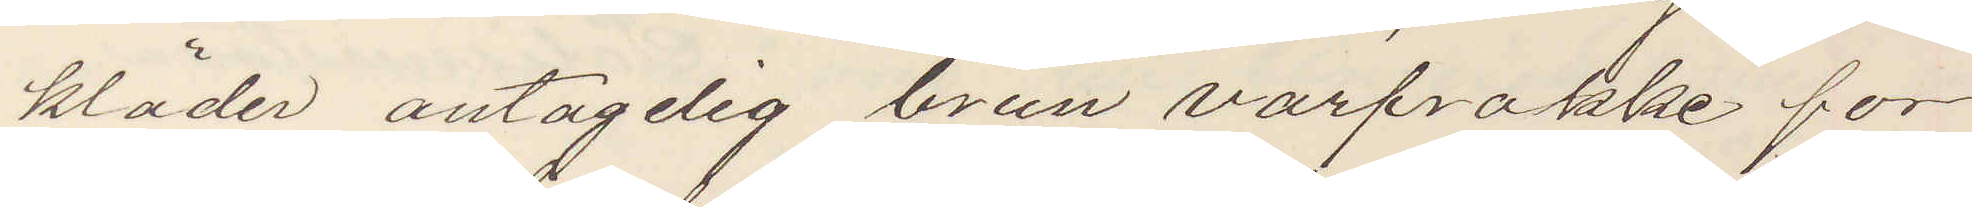kläder antagelig brun varfrakke for¬
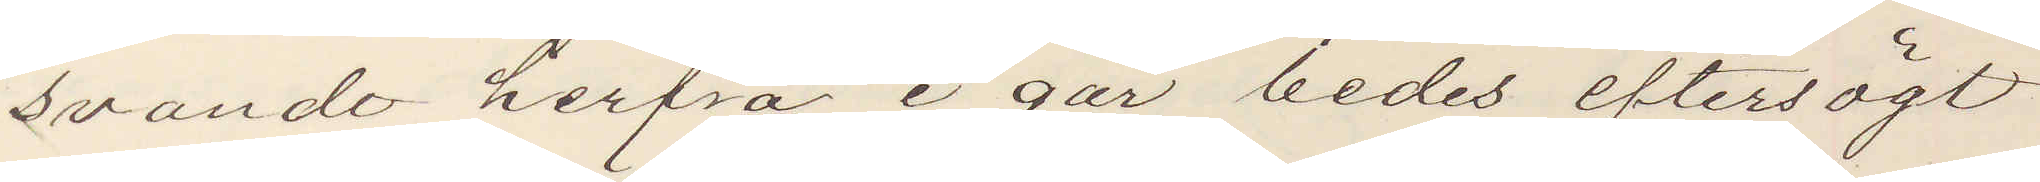svandt herfra i går bedes eftersögt
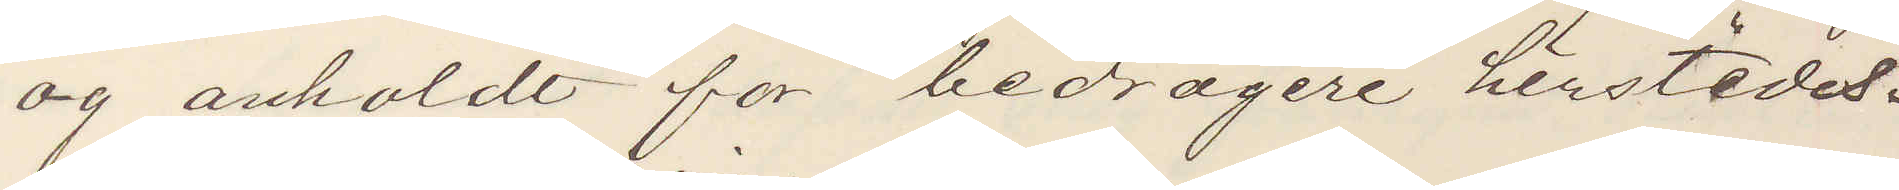og anholdt for bedrageri herstedes.
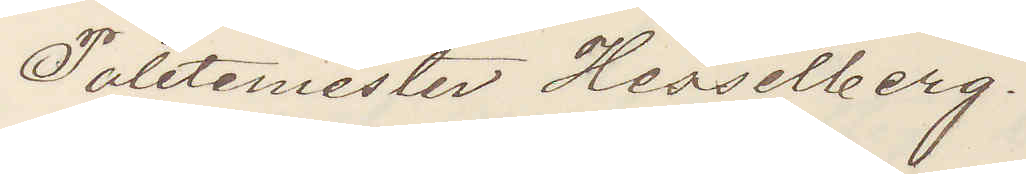Politimester Hesselberg.
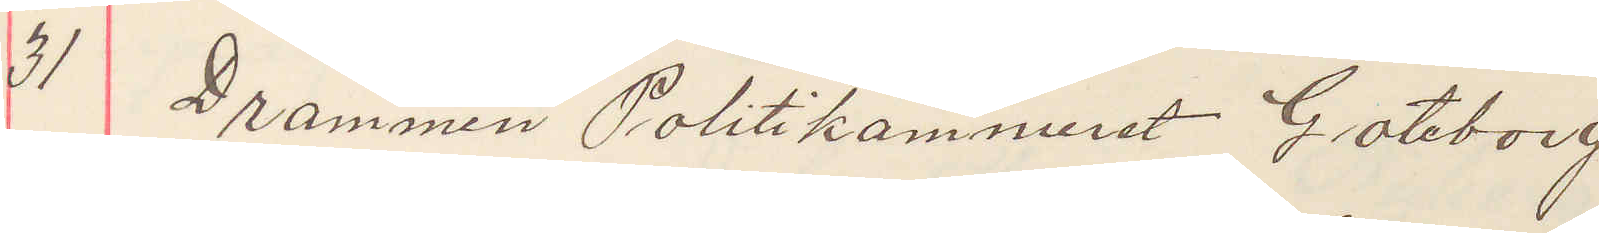31 Drammen Politikammeret Götebor
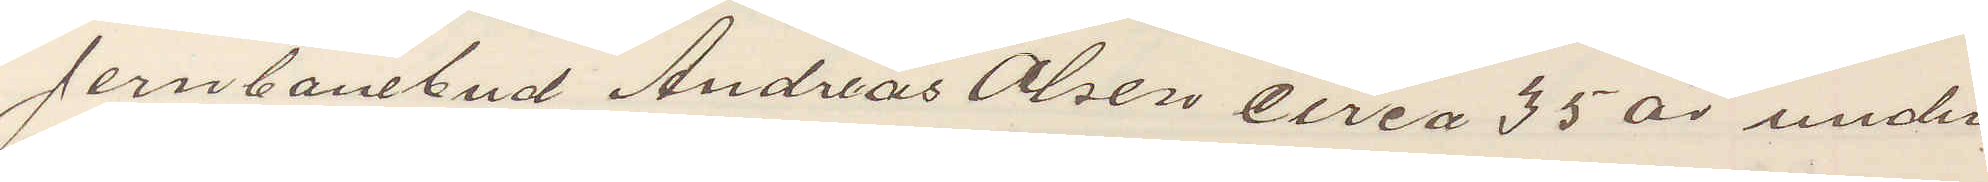Jernbanebud Andreas Olsen circa 35 år under¬
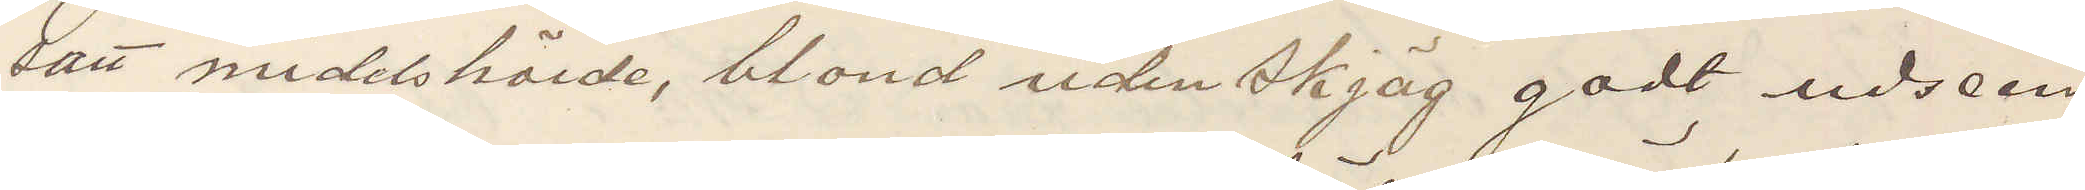satt midelshöide, blond uden skjäg godt udseen¬
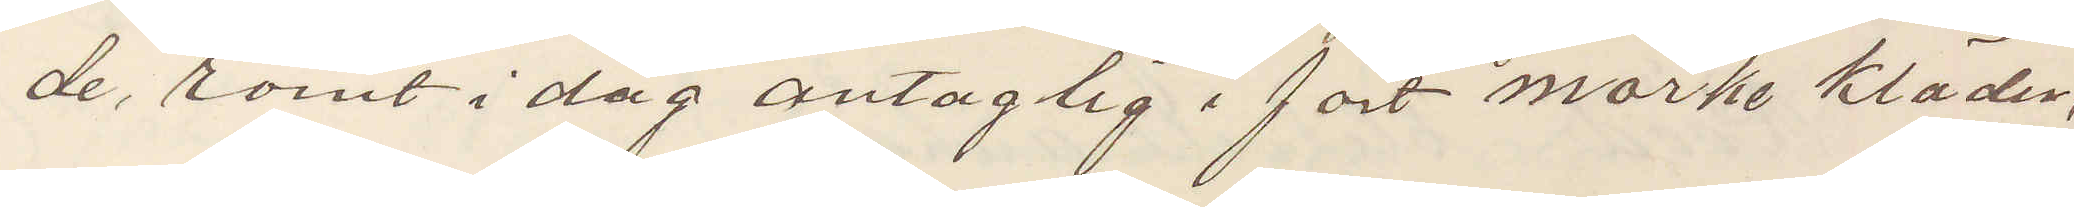de, römt i dag antaglig i fört mörke kläder,
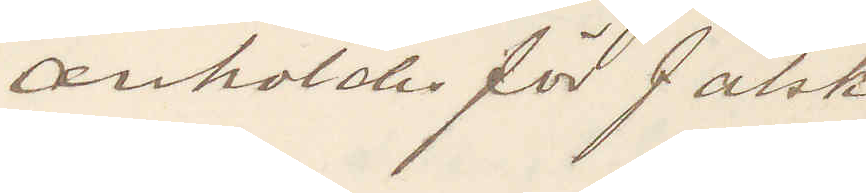anhold för falsk
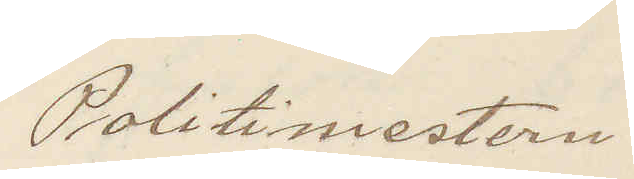Politimesteren
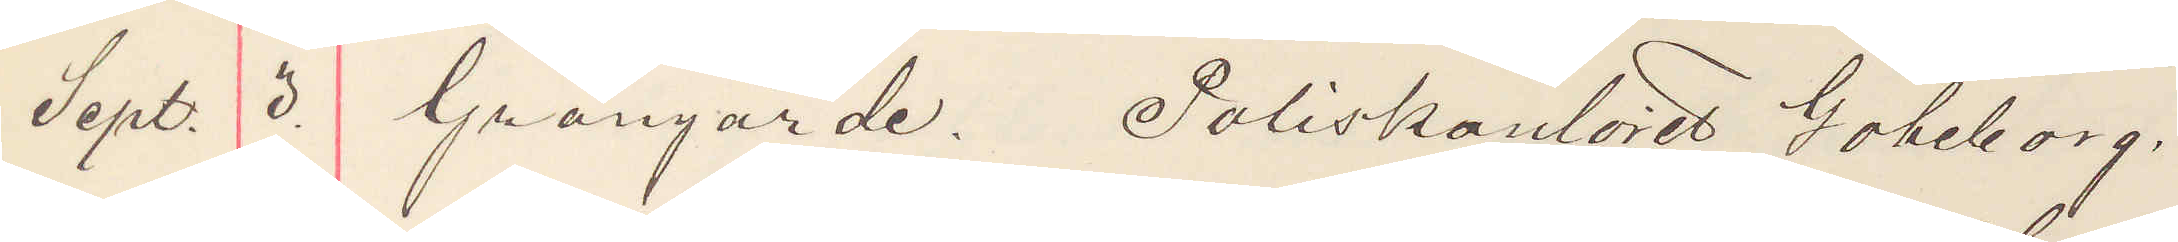Sept. 3. Grangärde. Poliskonstoret Göteborg.
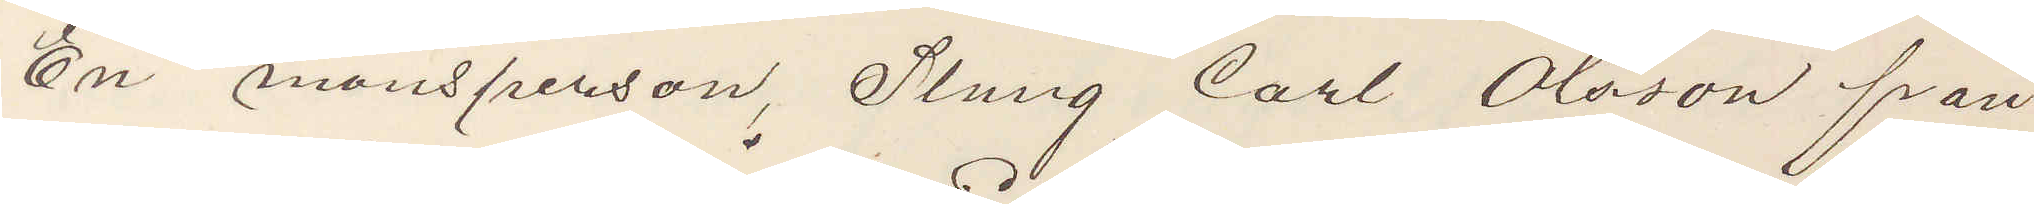En mansperson, Slung Carl Olsson från
